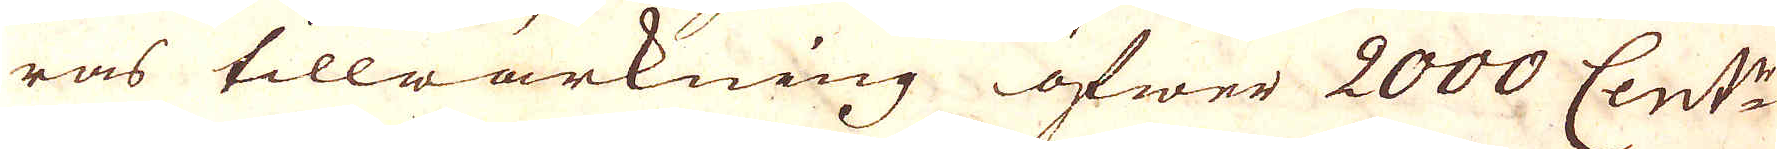ras tillwärkning öfwer 2000 Cent:r
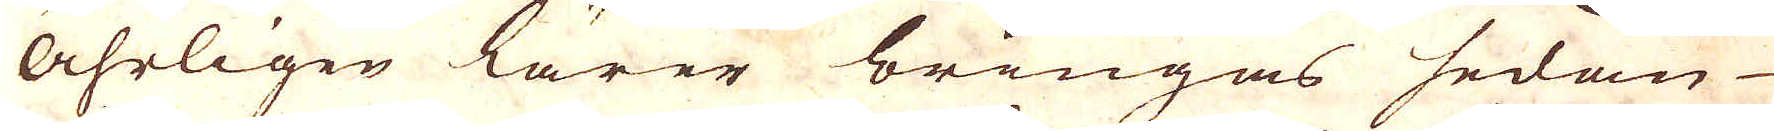åhrligen lärer bringas sedan
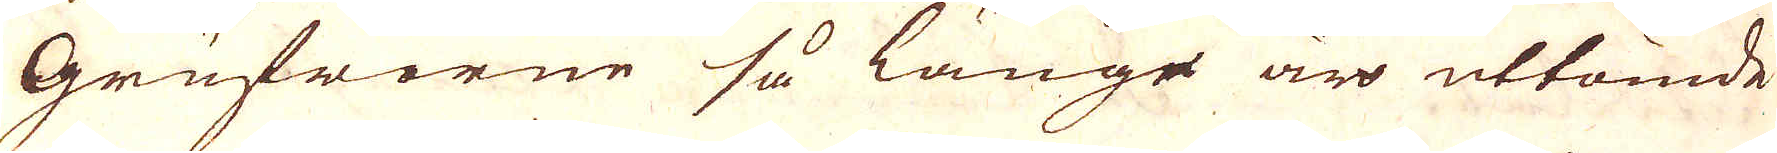Grufworne så länge är uttömde
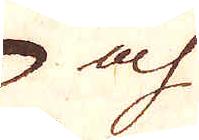och
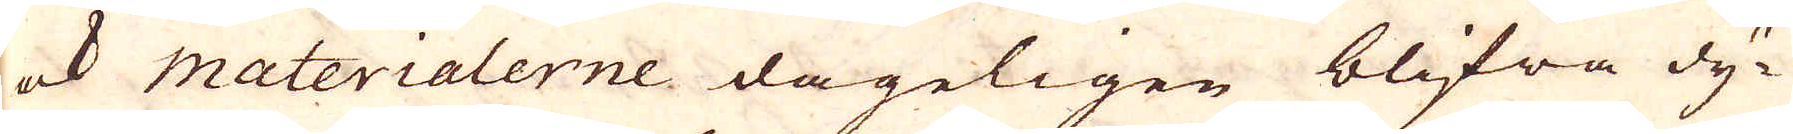ock materialerne dageligen blifwa dy-
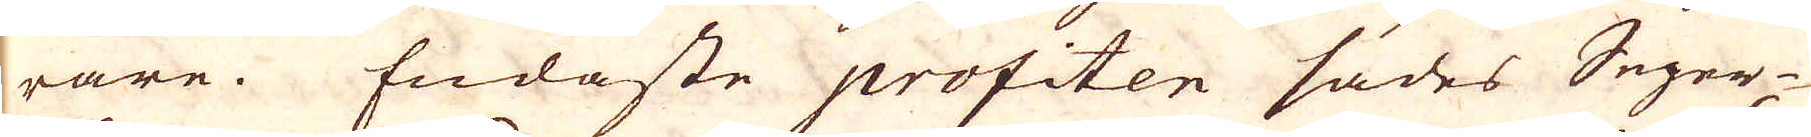rare. Endaste profiten sades Seger-
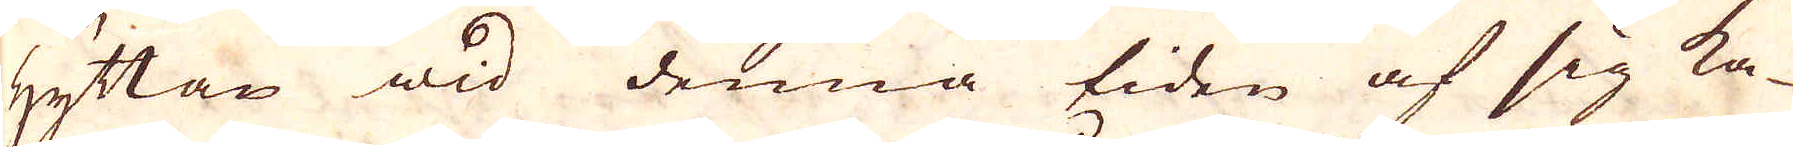hyttan wid denna tiden af sig ka-
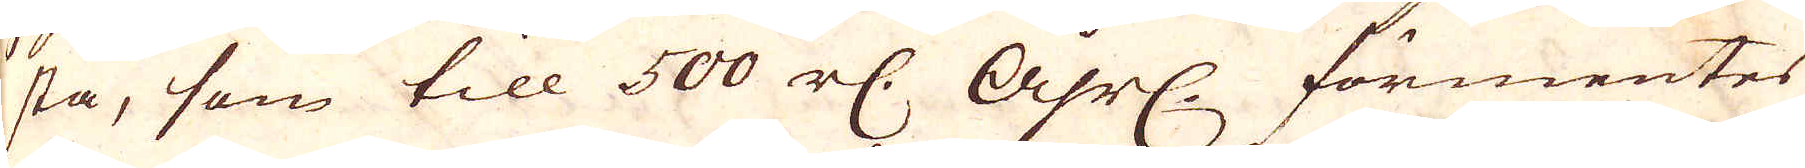sta, som till 500 r:dr åhrl. förmentes
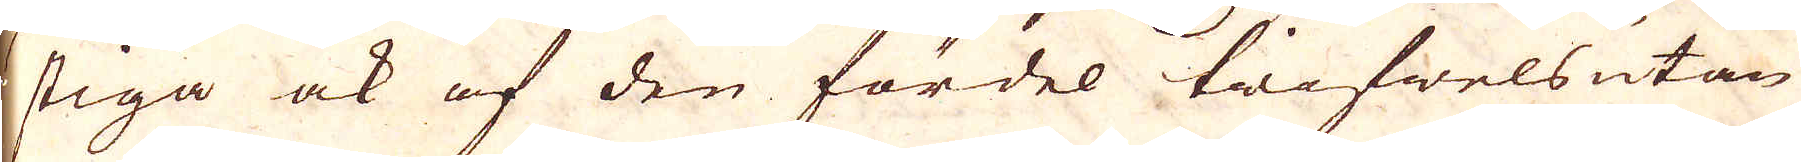stiga ock af den fördel tvifwelsutan
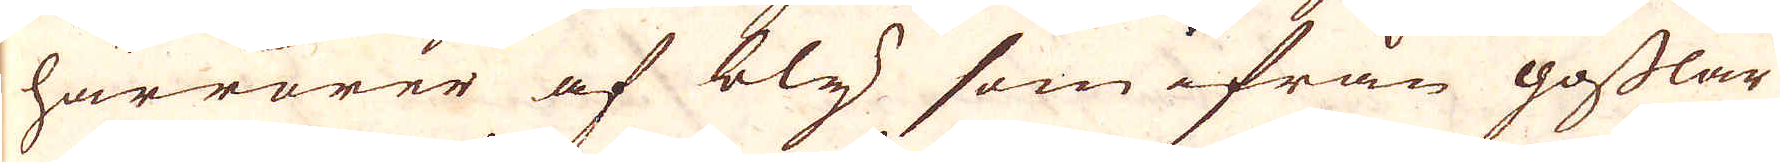härrörer af bly som ifrån gofflar
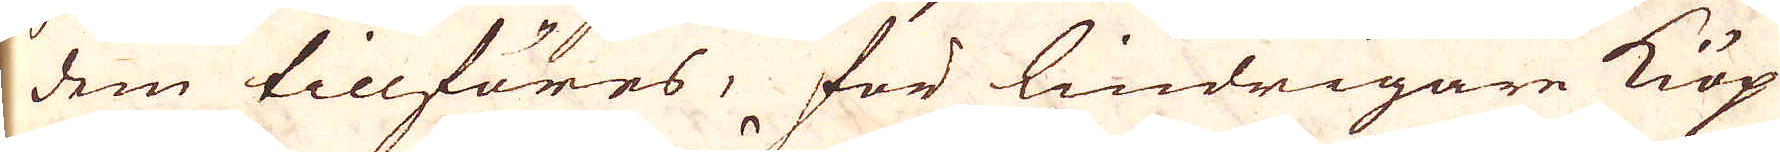dem tillföres, för lindrigare kiöp
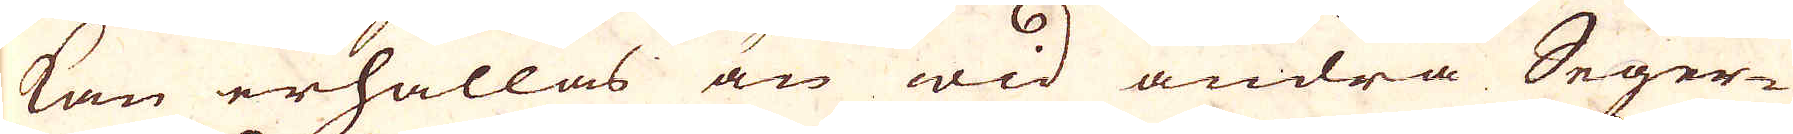kan erhållas än wid andra Seger-
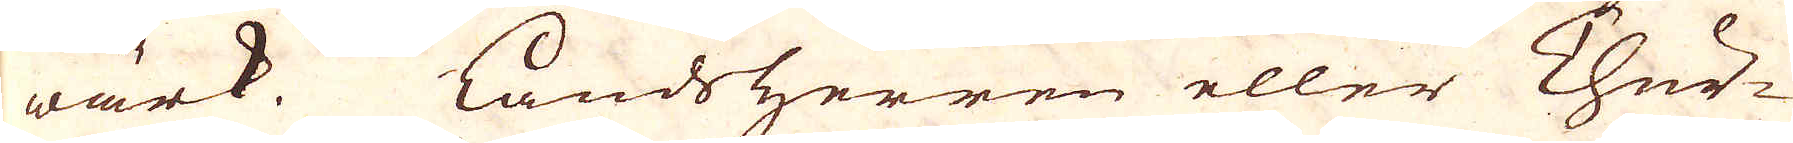wärk. Landsherren eller Chur-
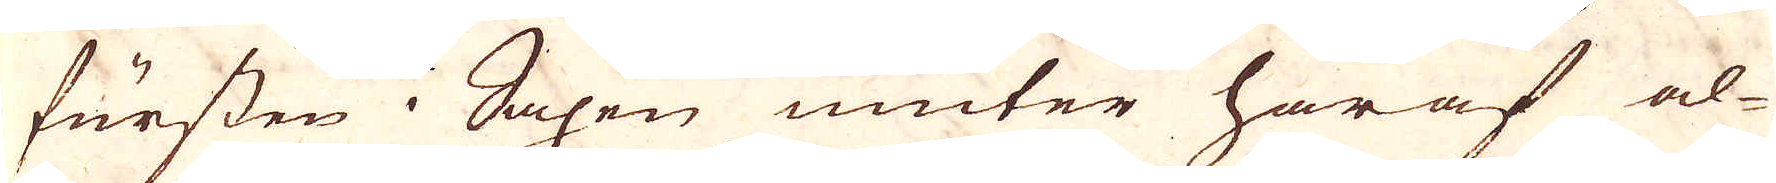fursten i Saxen niuter häraf al-
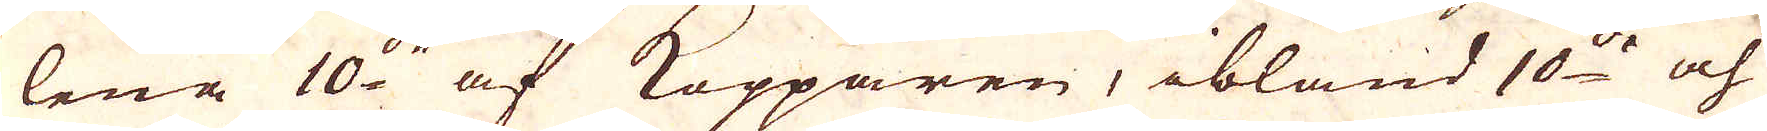lena 10:de af Kopparen, ibland 10:de och
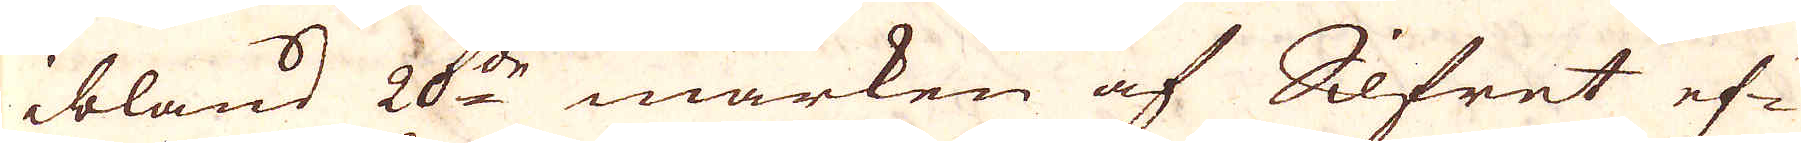ibland 20:de marken af Silfret ef-
